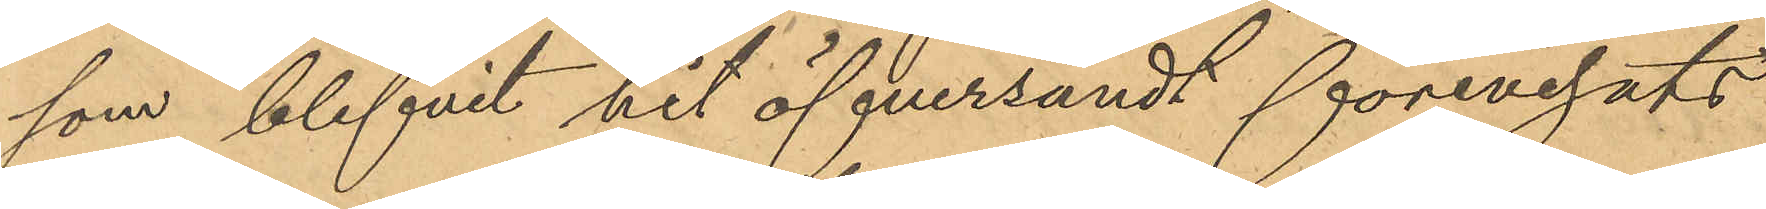som blifvit hit öfversändt förevisats
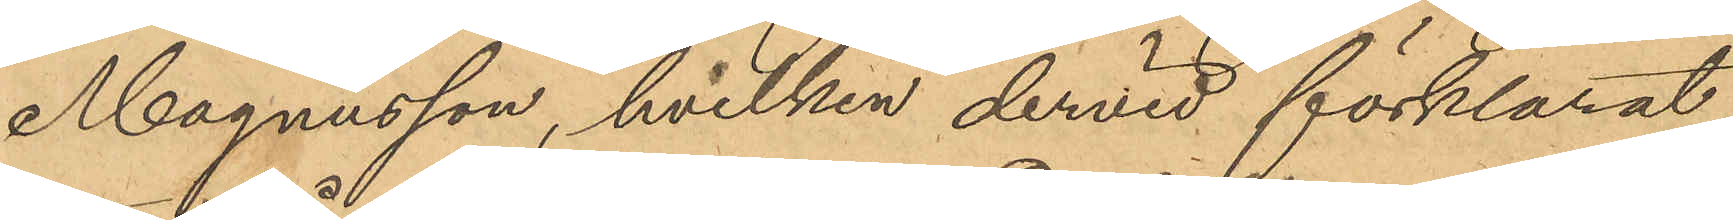Magnusson, hvilken dervid förklarat
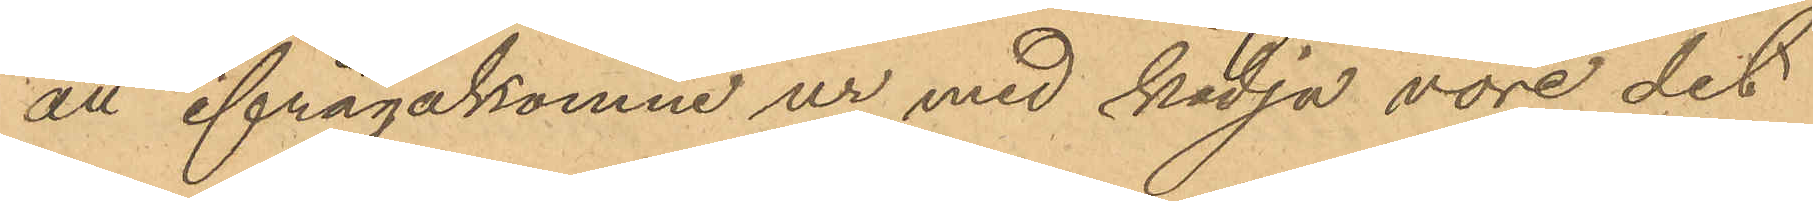att ifrågakomne ur med kedja vore det
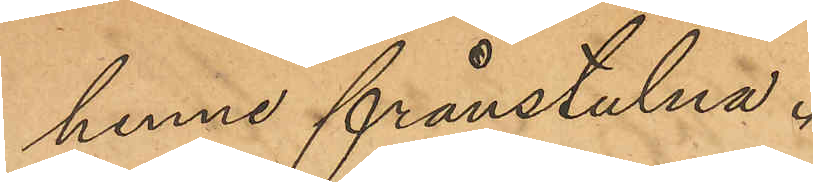henne frånstulna.
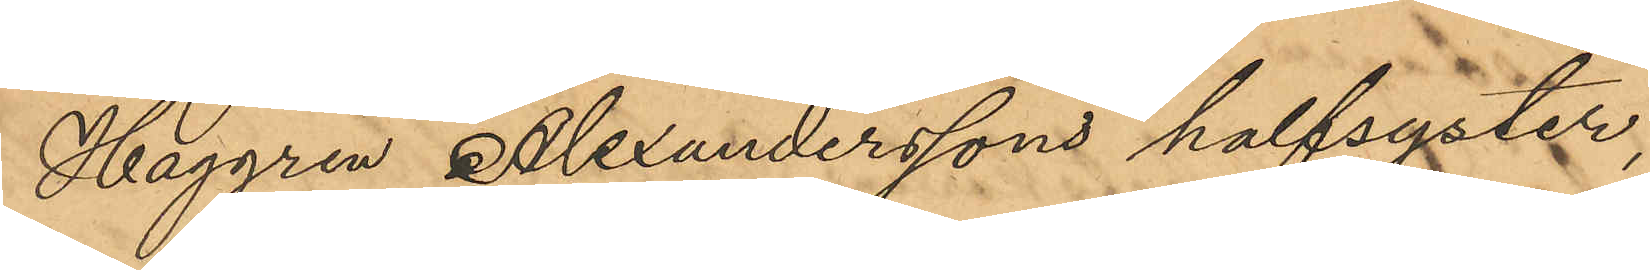Haggren Alxanderssons halfsyster,
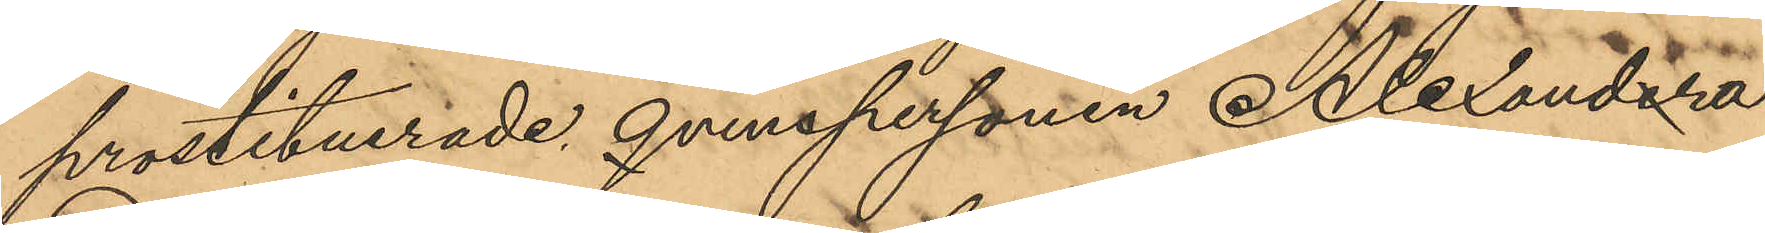prostituerade qvinspersonen Alexandra
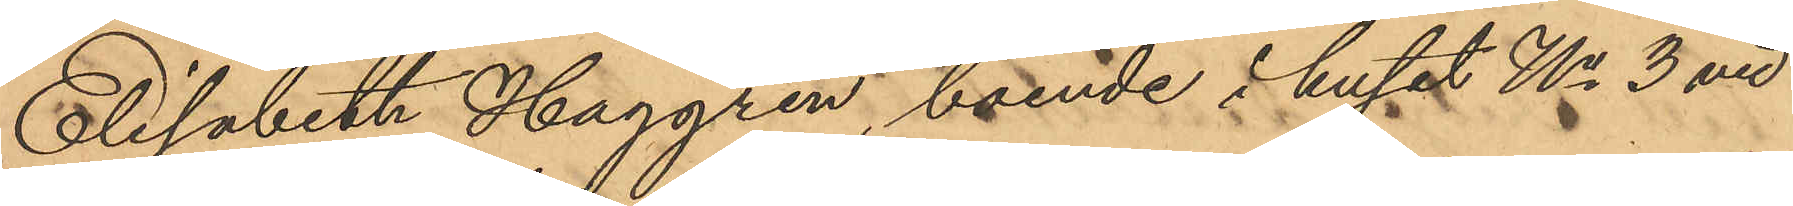Elisabeth  Haggren, boende i huset No 3 vid
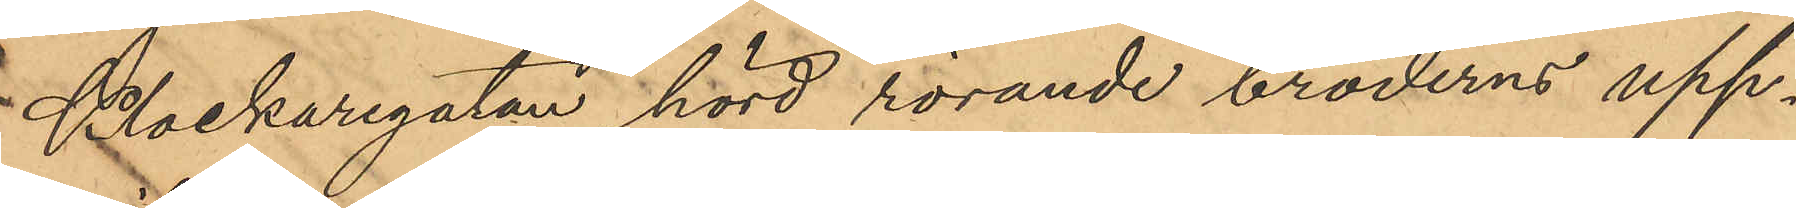Klockaregatan hörd rörande broderns upp¬
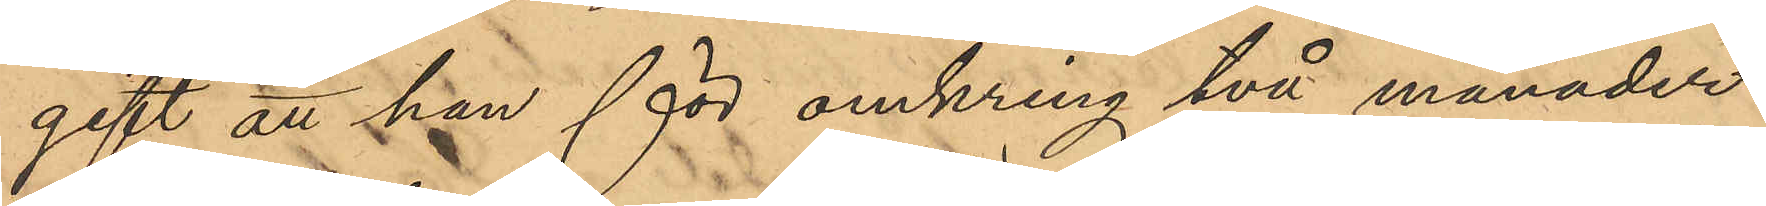gift att han för omkring två månader
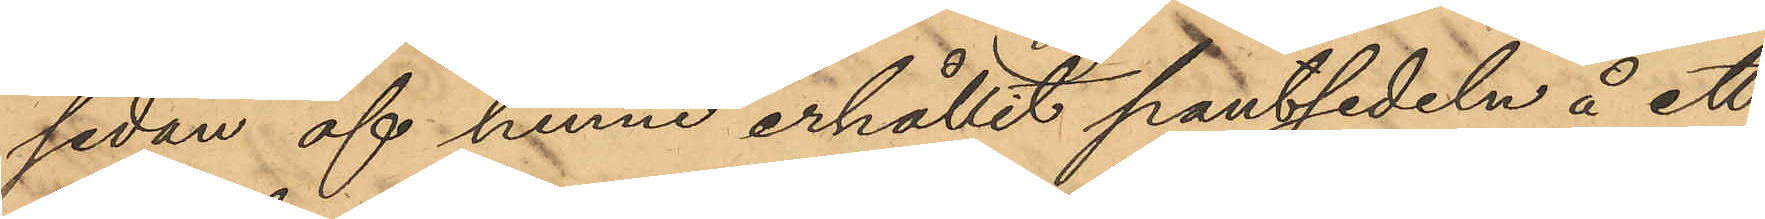sedan af henne erhållit pantsedeln å ett
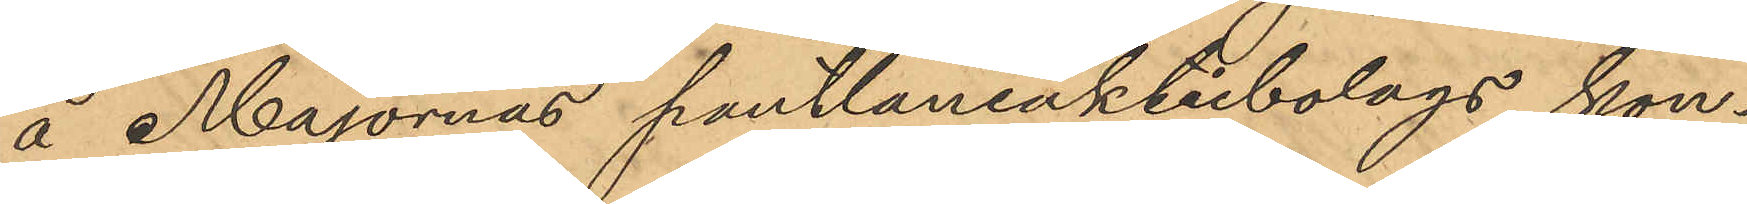å Majornas pantlåneaktiebolags kon¬
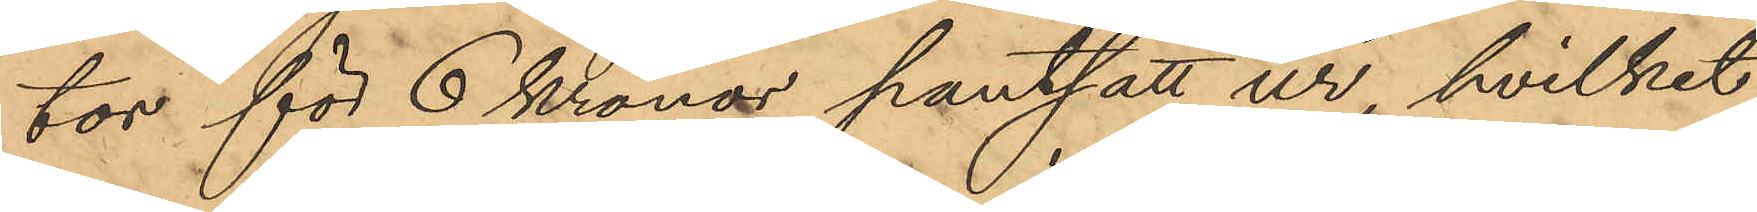tor för 6 Kronor pantsatt ur, hvilket
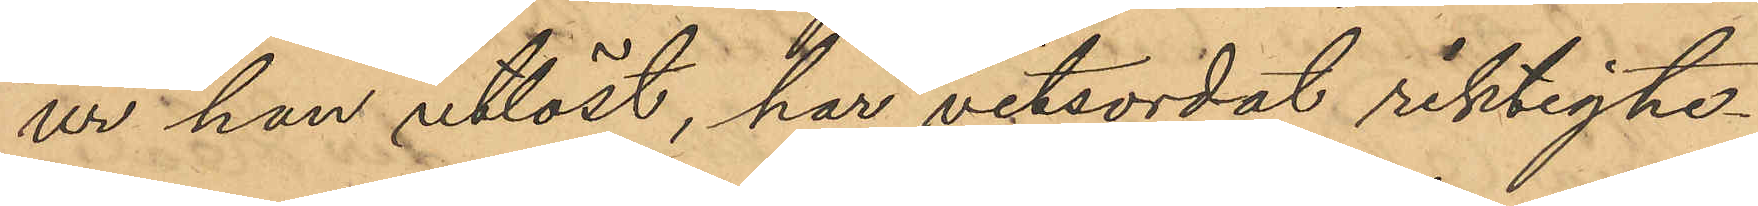ur han utlöst, har vitsordat riktighe¬
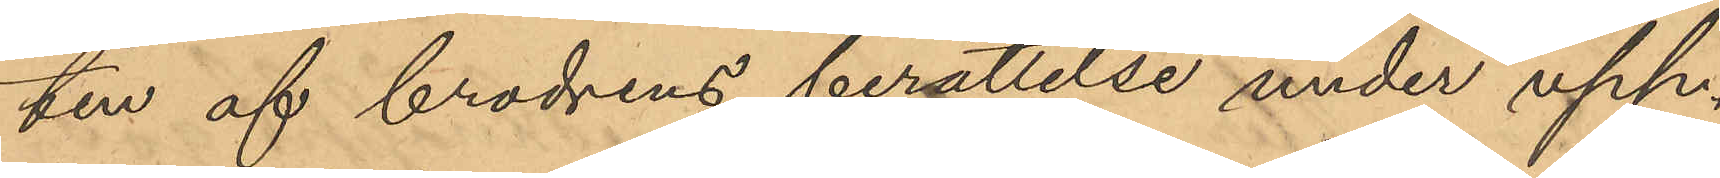ten af brodrens berättelse under upp¬
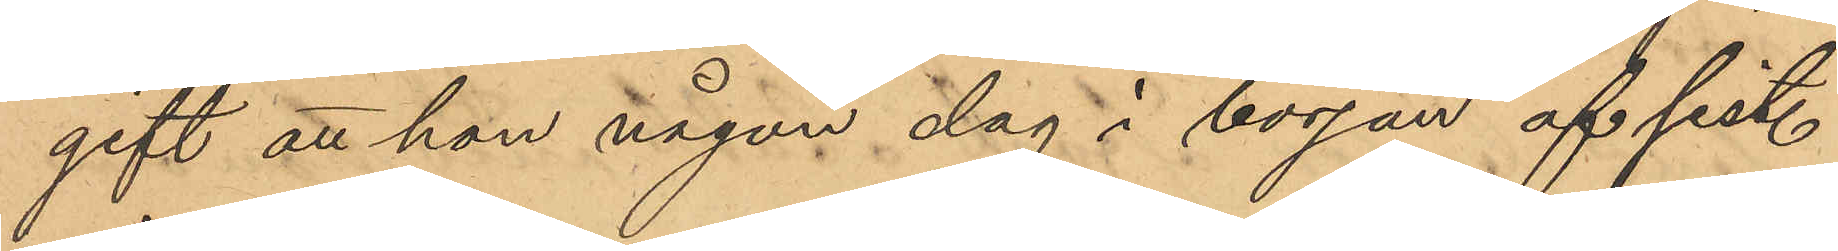gift att han någon dag i början af sist.
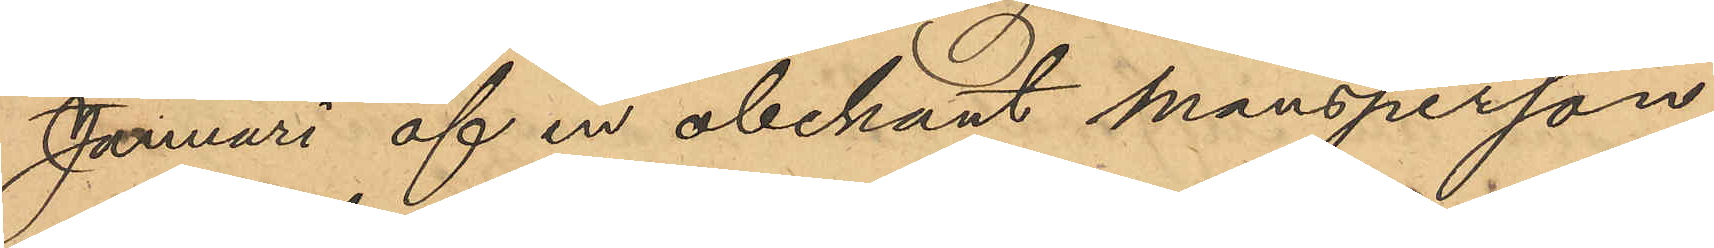Januari af en obekant mansperson
